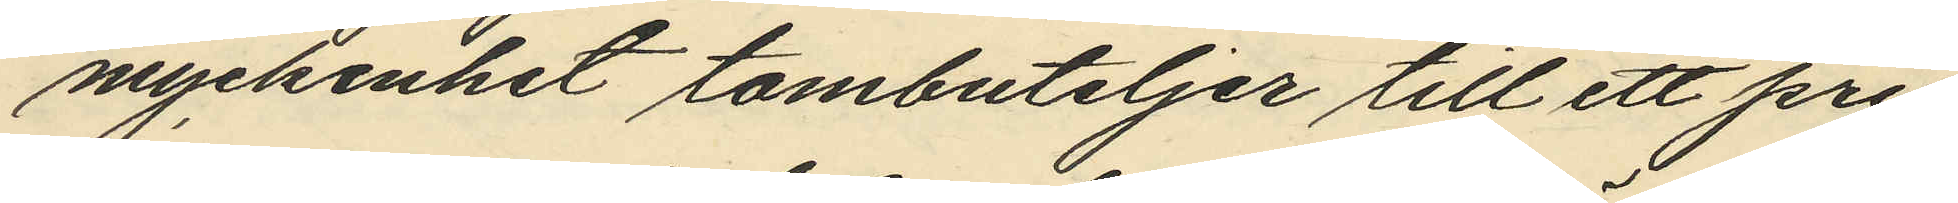myckenhet tombuteljer till ett pris
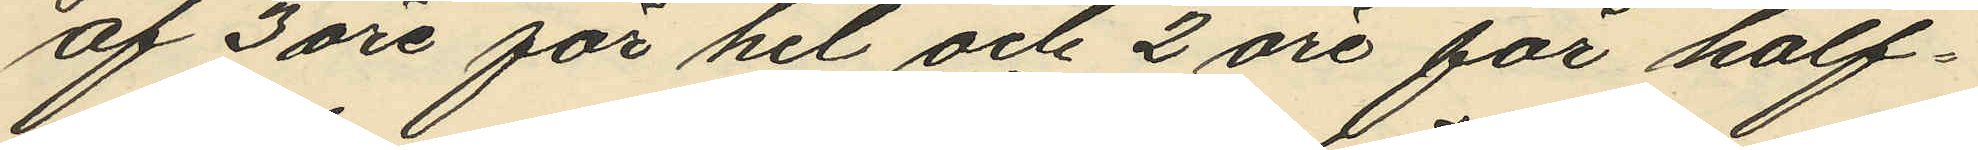af 3 öre för hel och 2 öre för half¬
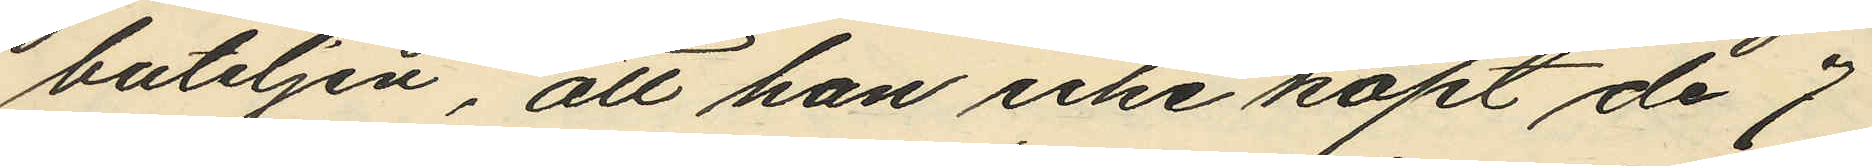buteljen, att han icke köpt de 7
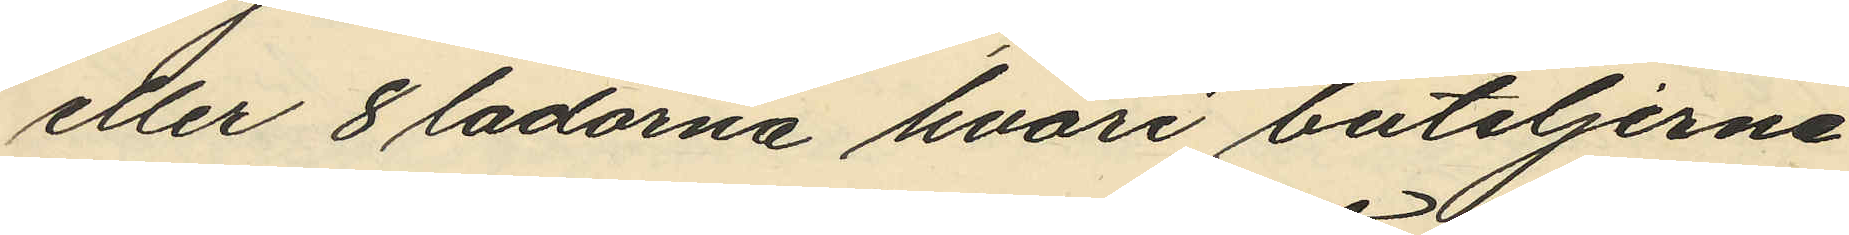eller 8 lådorna hvari buteljerna
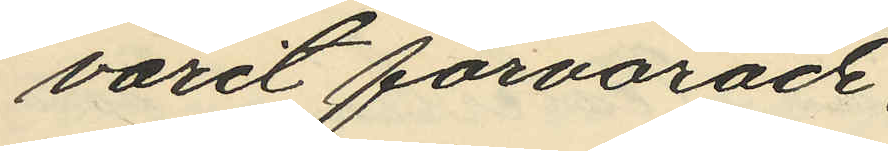varit förvarade
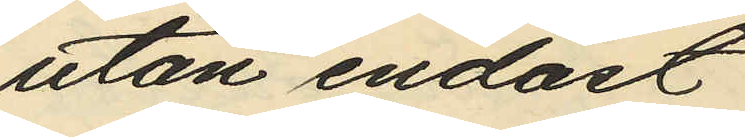utan endast
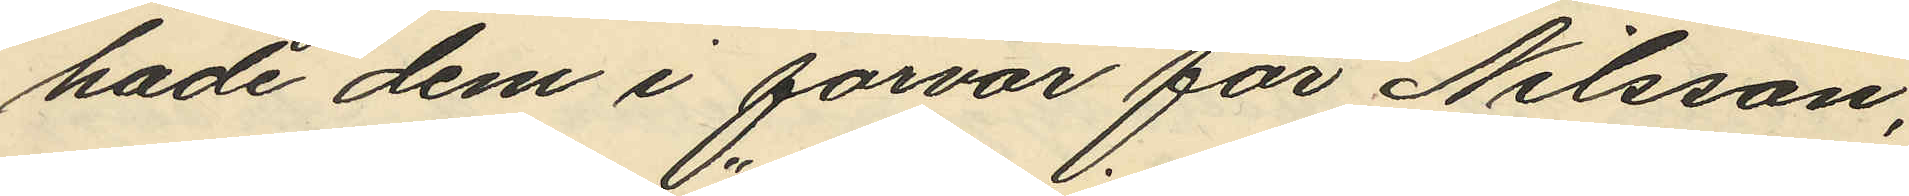hade dem i forvar för Nilsson,
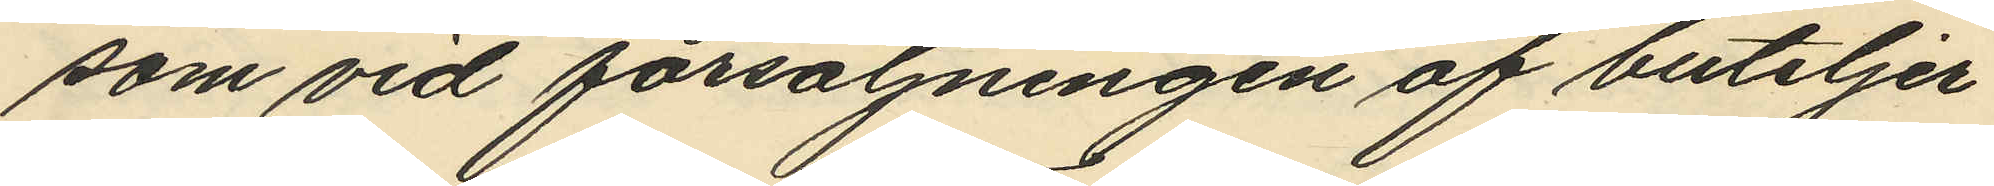som vid försäljningen af buteljer
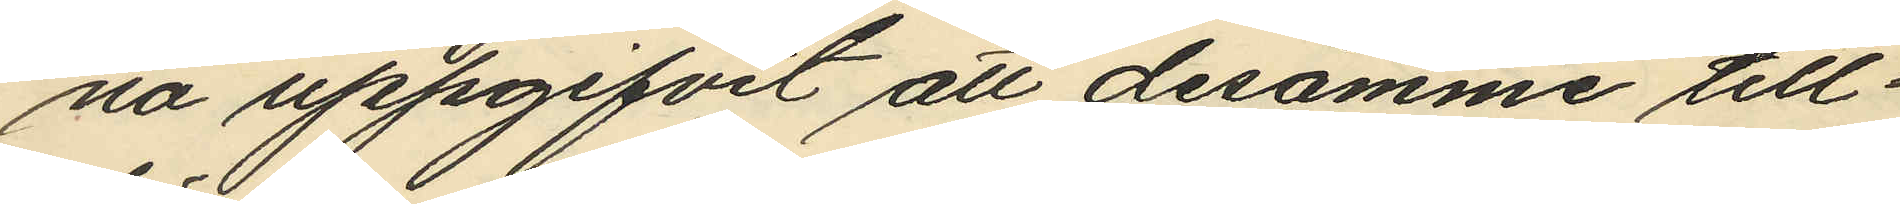na uppgifvit att desamme till¬
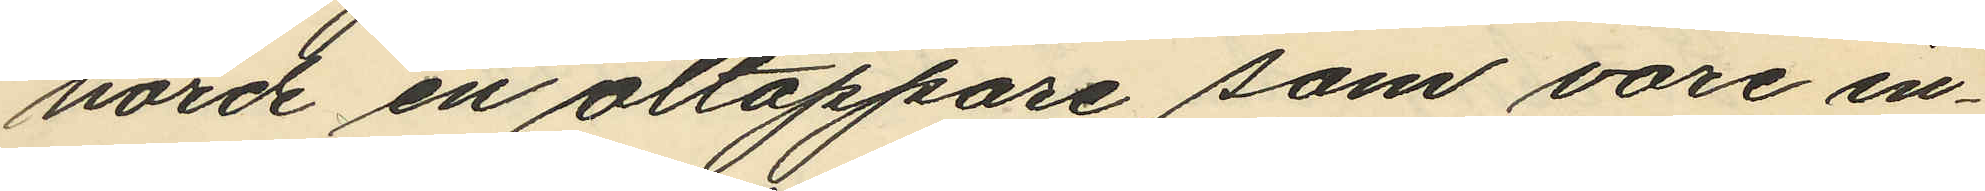hörde en öltappare som vore in¬
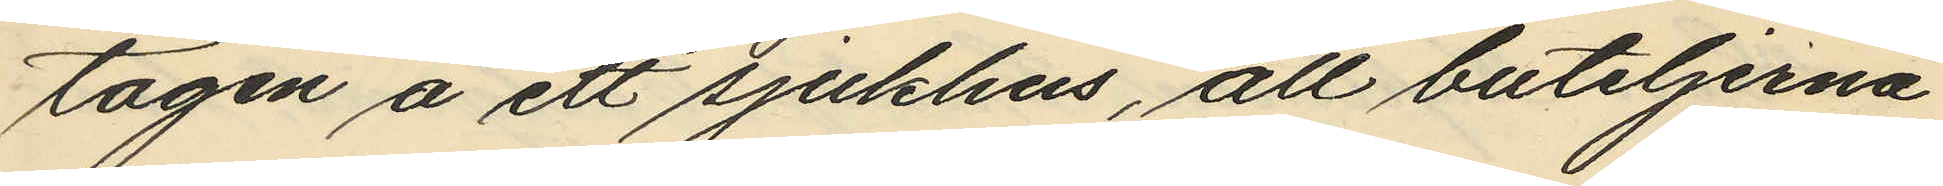tagen å ett sjukhus, att buteljerna
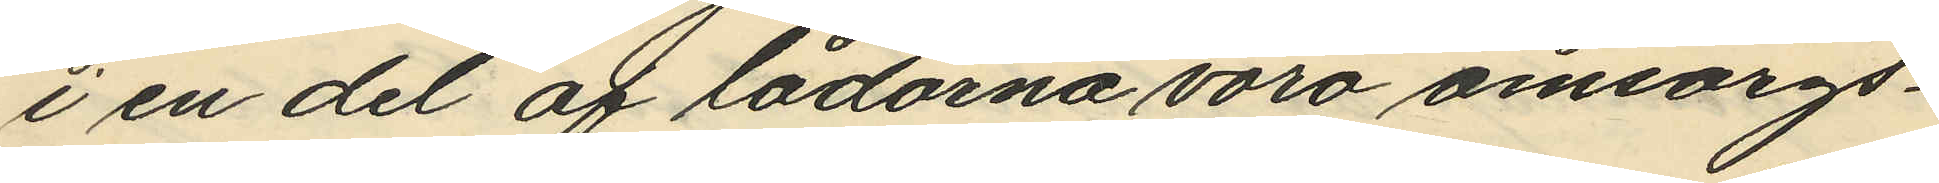i en del af lådorna voro omsorgs¬
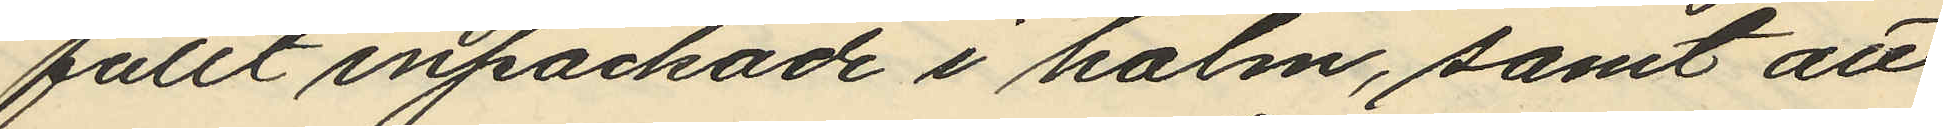fullt inpackade i halm, samt att
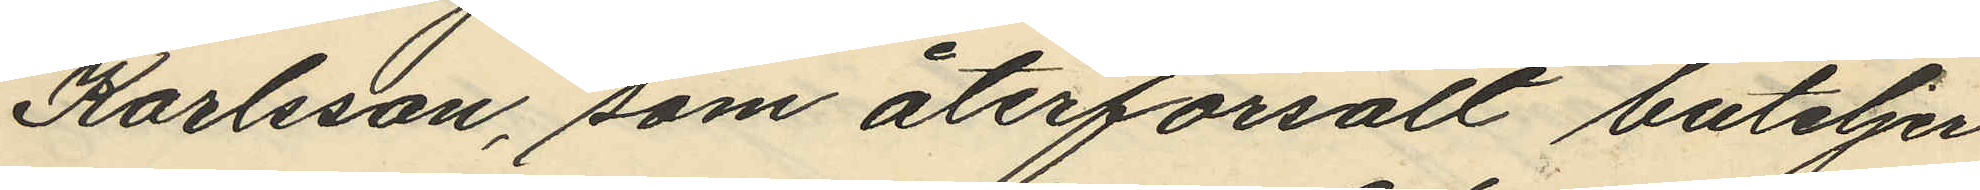Karlsson, som återförsålt buteljer
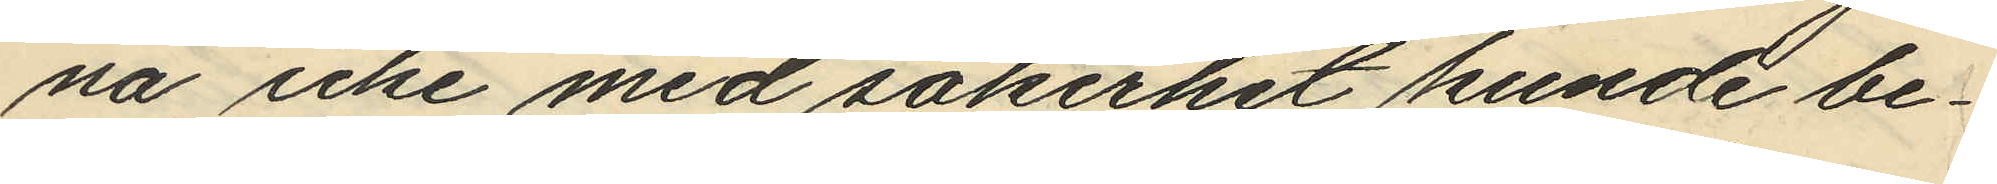na icke med säkerhet kunde be¬
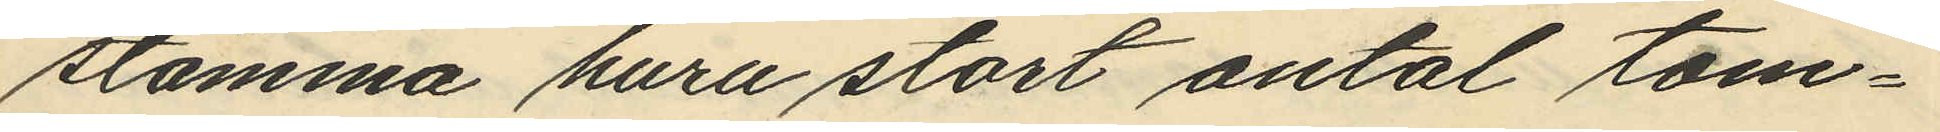stämma huru stort antal tom¬
